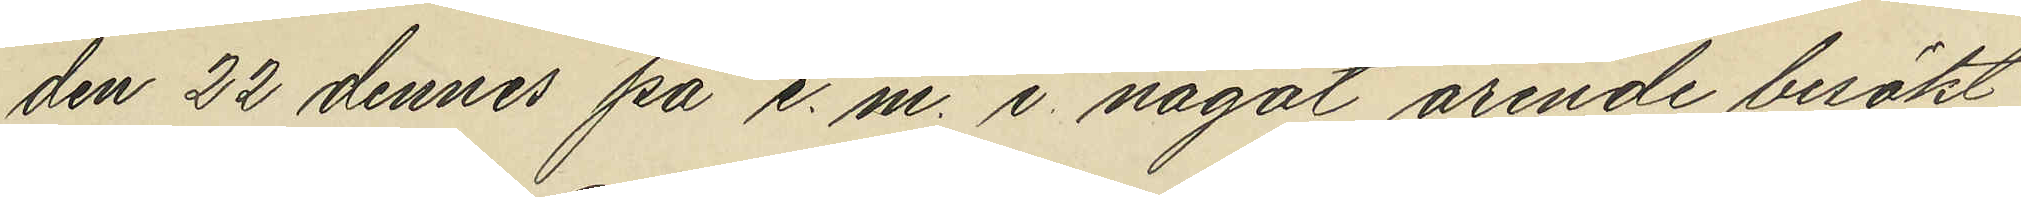den 22 dennes på e. m. i något ärende besökt
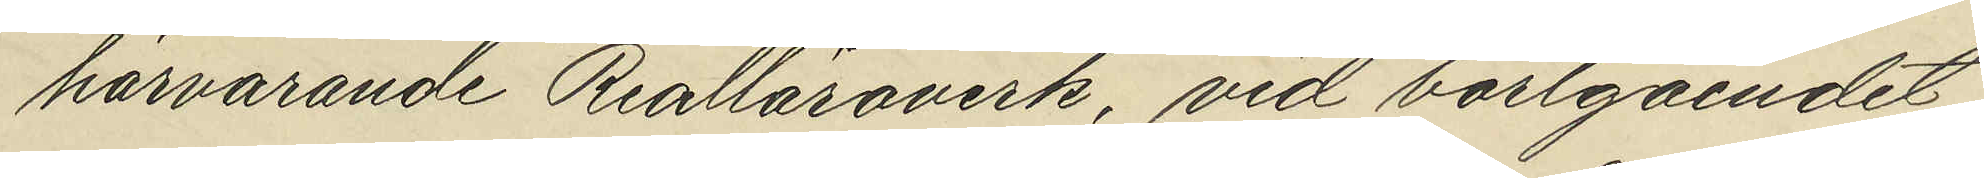härvarande Realläroverk, vid bortgåendet
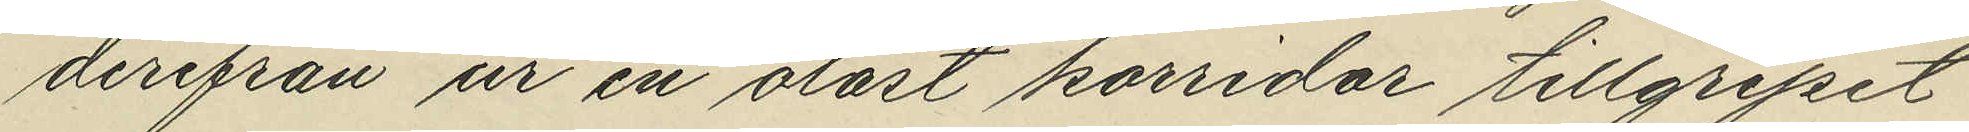derifrån ur en olåst korridor tillgripit
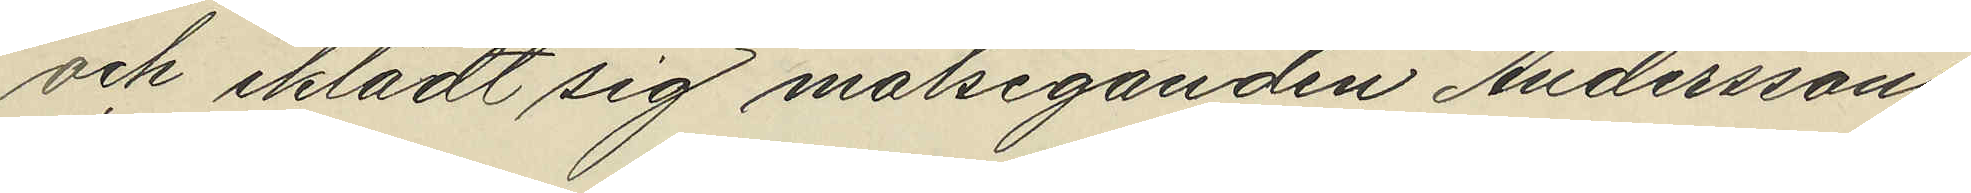och iklädt sig målseganden Anderssons
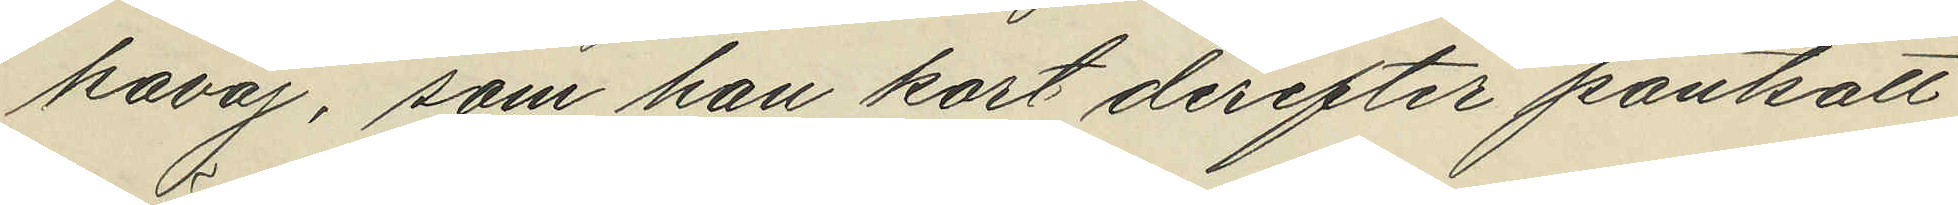kavaj, som han kort derefter pantsatt
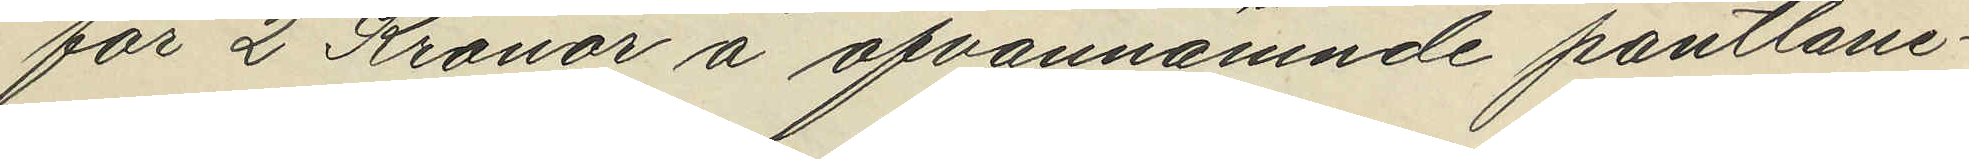för 2 Kronor å ofvannämnde pantlåne¬
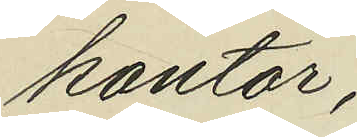kontor,
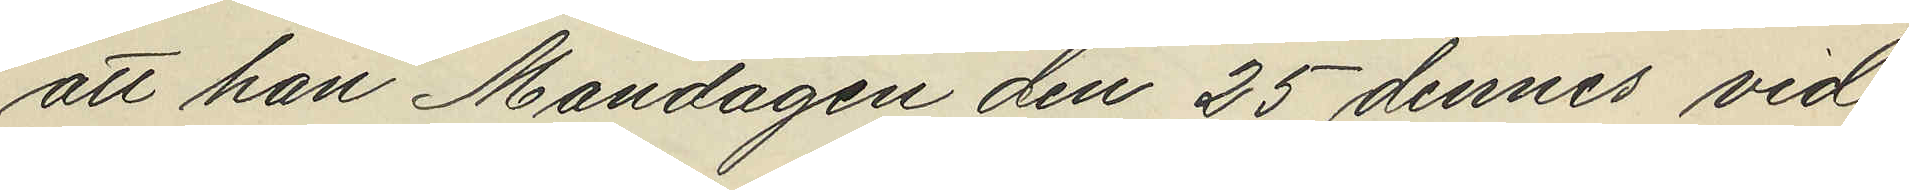att han Måndagen den 25 dennes vid
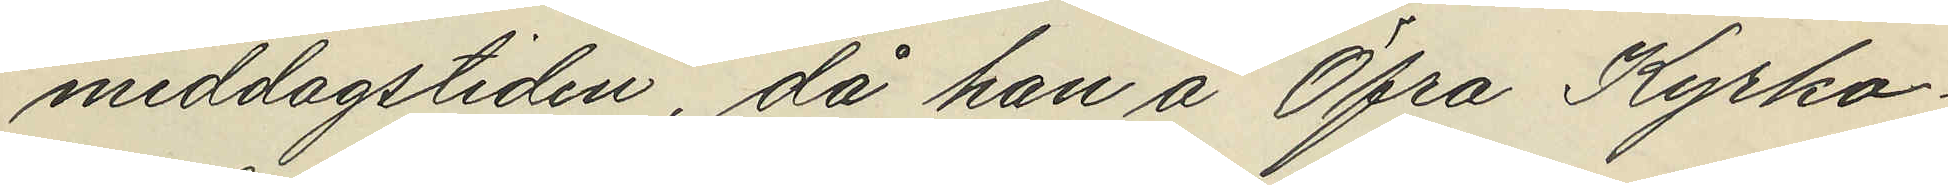middagstiden, då han å Öfra Kyrko¬
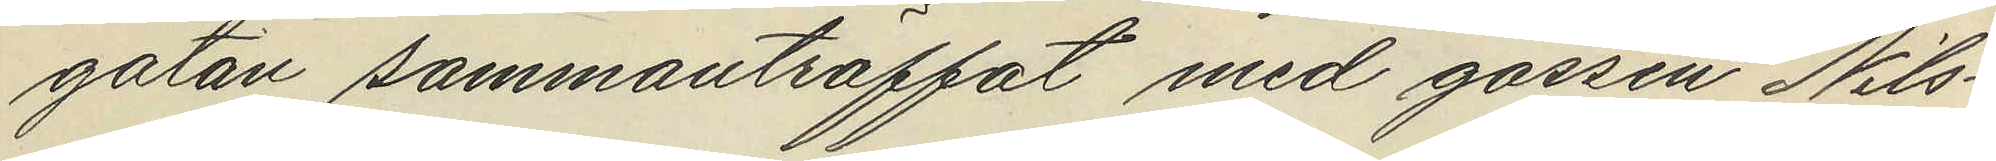gatan sammanträffat med gossen Nils¬
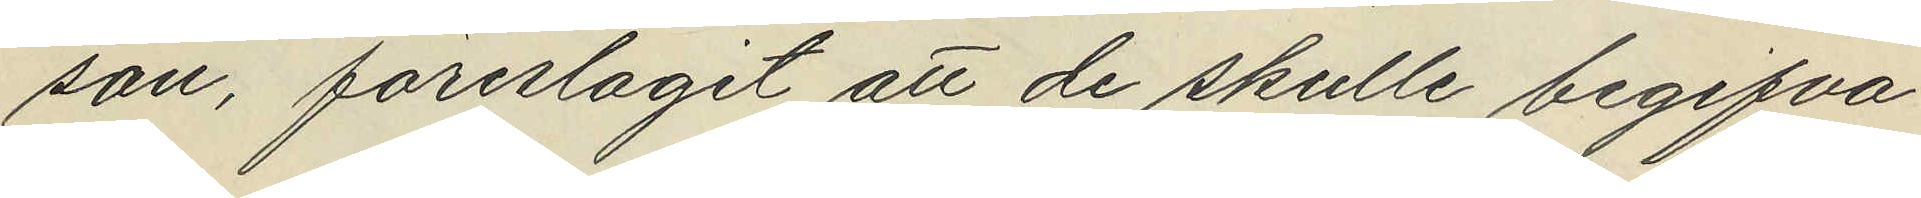son, föreslagit att de skulle begifva
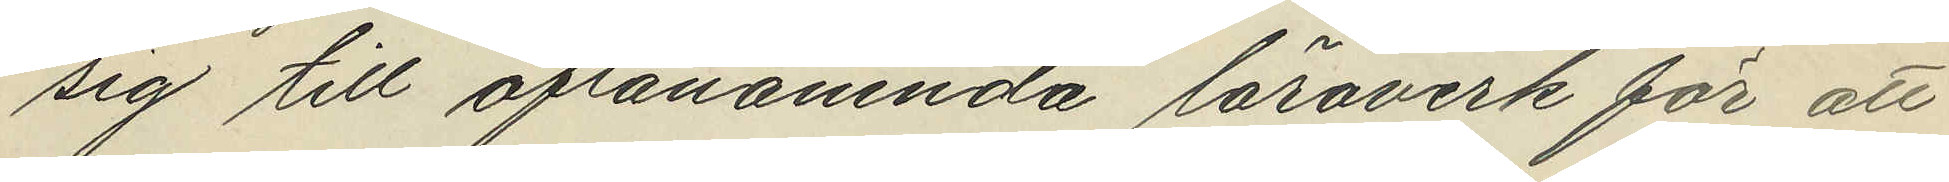sig till oftanämnda löraverk för att
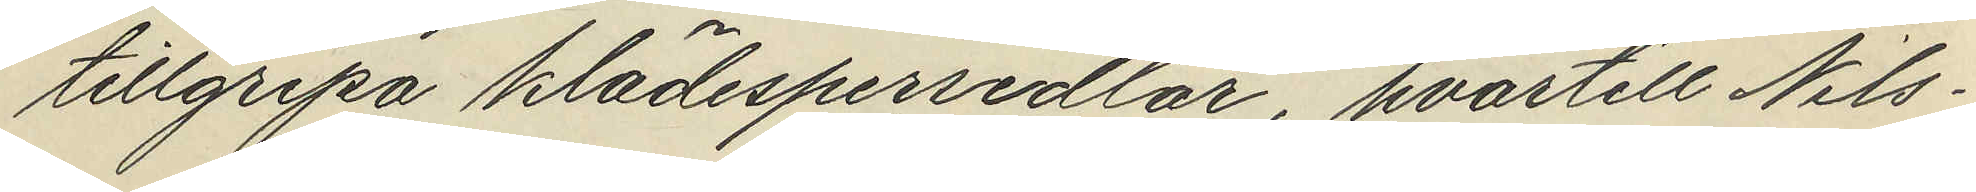tillgripa klädespersedlar, hvartill Nils¬
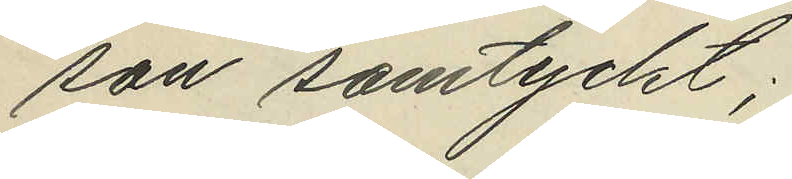son samtyckt;
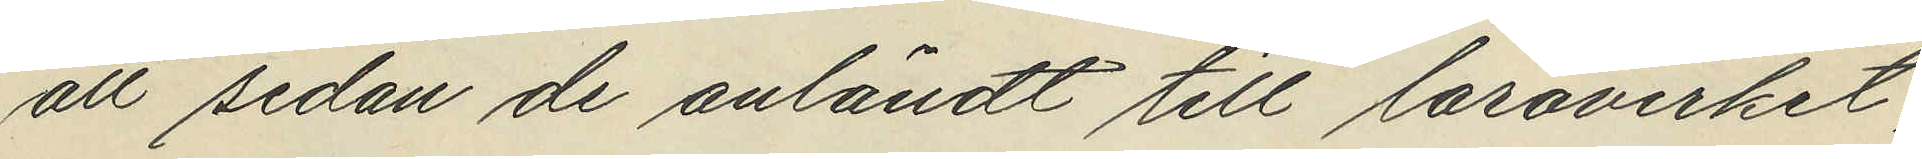att sedan de anländt till läroverket,
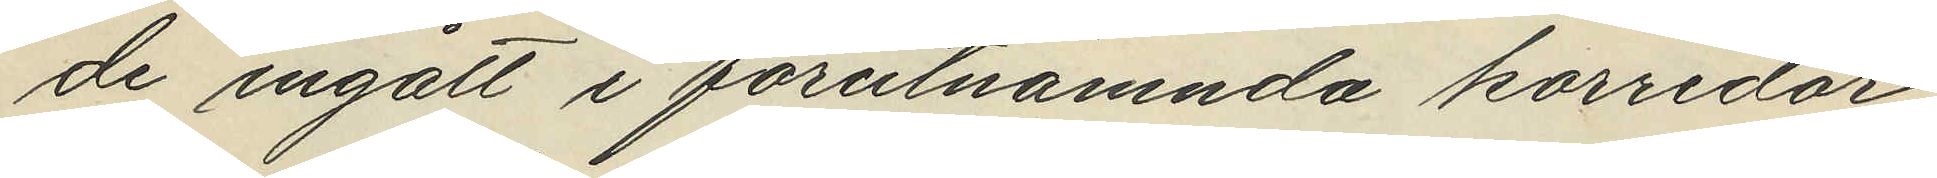de ingått i förutnämnda korridor
